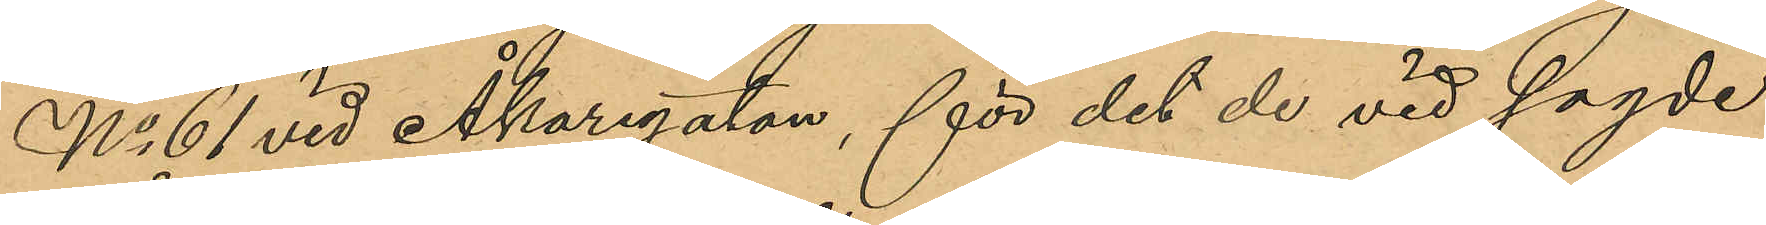No 61 vid Åkaregatan, för det de vid sagde
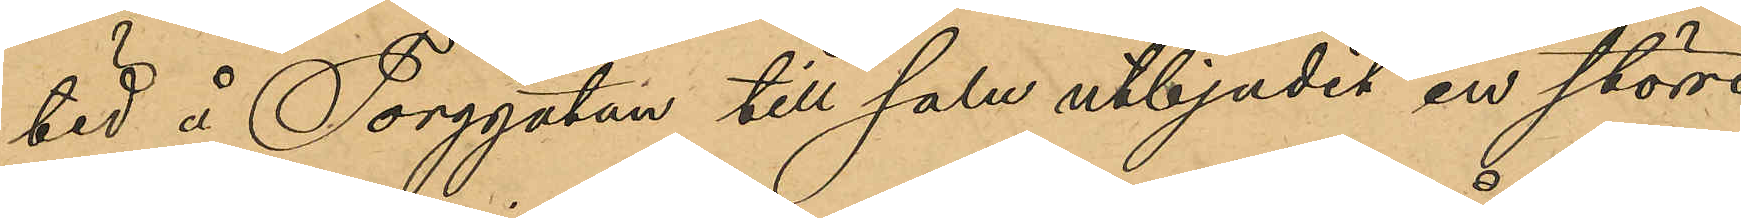tid å Torgatan till salu utbjudit en större
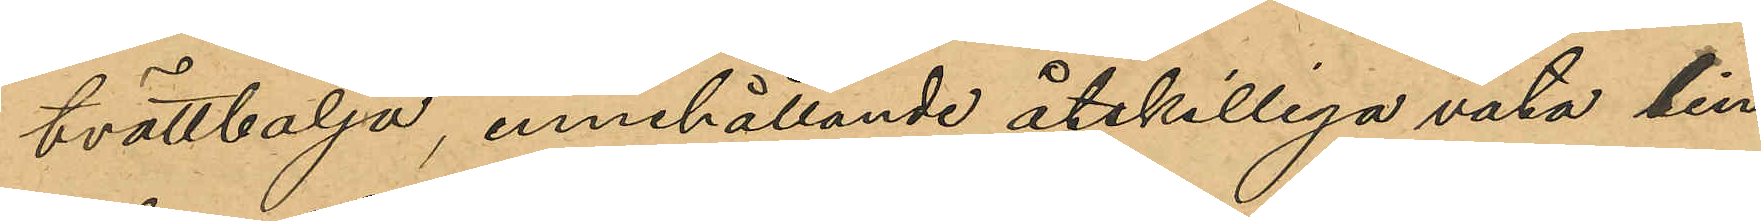tvättbalja, innehållande åtskilliga våta lin¬
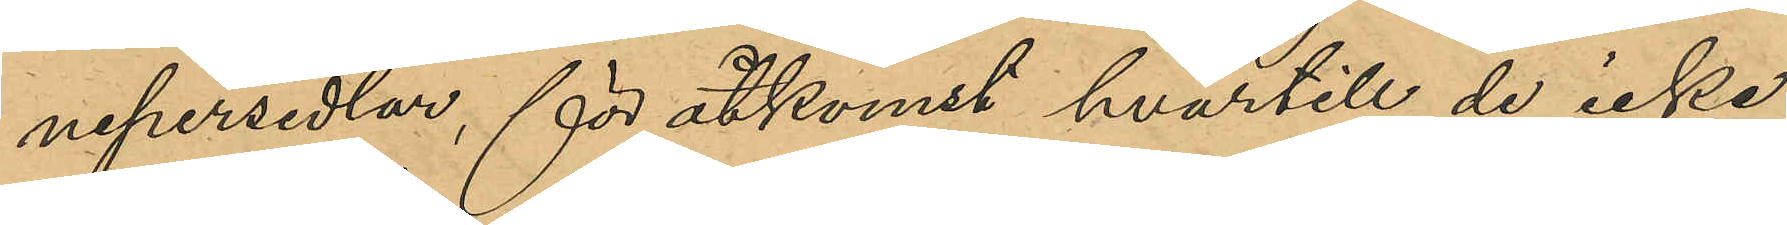nepersedlar, för åtkomst hvartill de icke
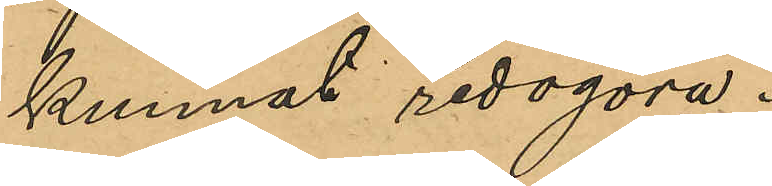kunnat redogöra.
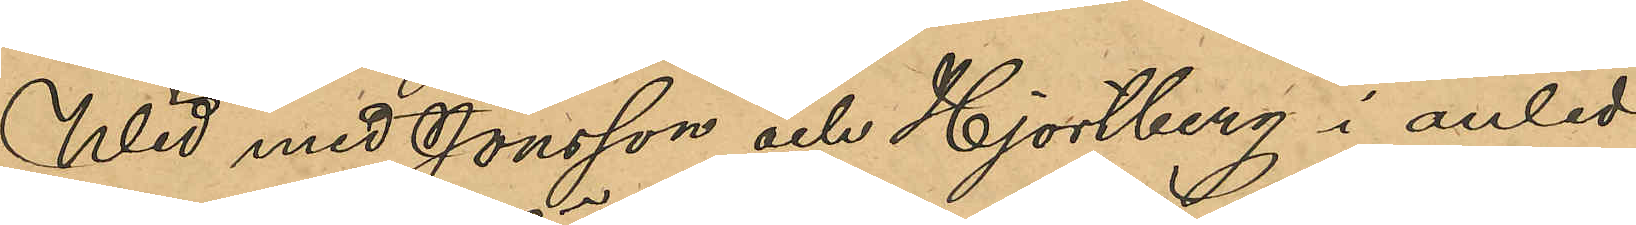Wid med Jönsson och Hjortberg i anled¬
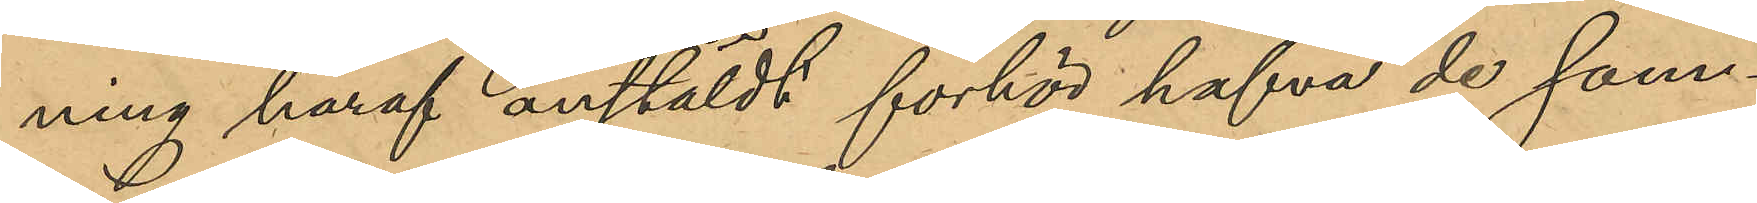ning häraf anstäldt förhör hafva de sam¬
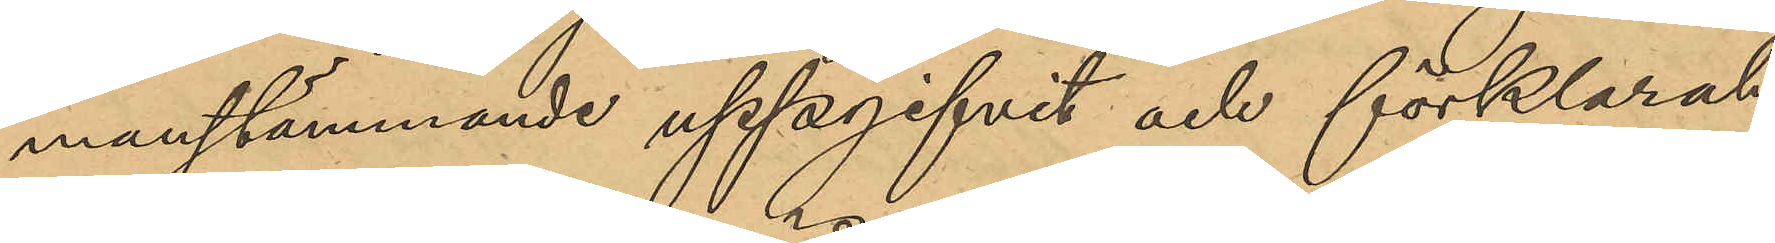manstämmande uppgifvit och förklarat
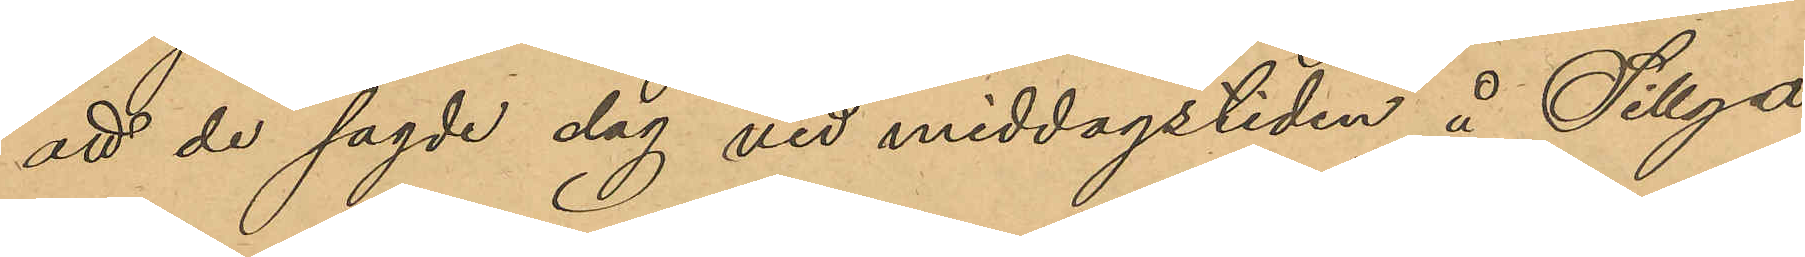att de sagde dag vid middagstiden å Sillga¬
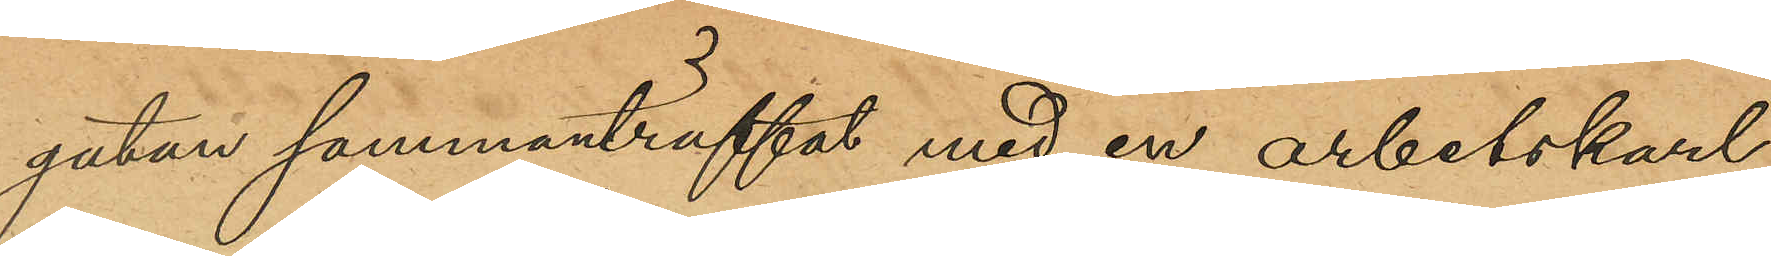gatan sammanträffat med en arbetskarl
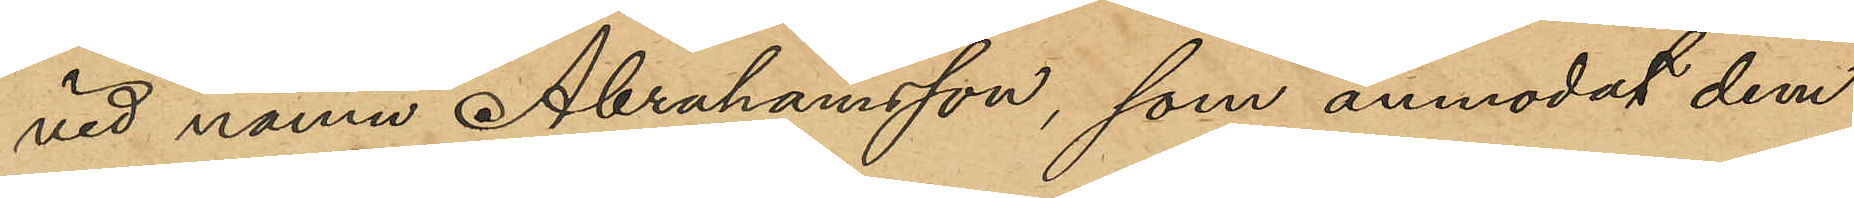vid namn Abrahamsson, som anmodat dem
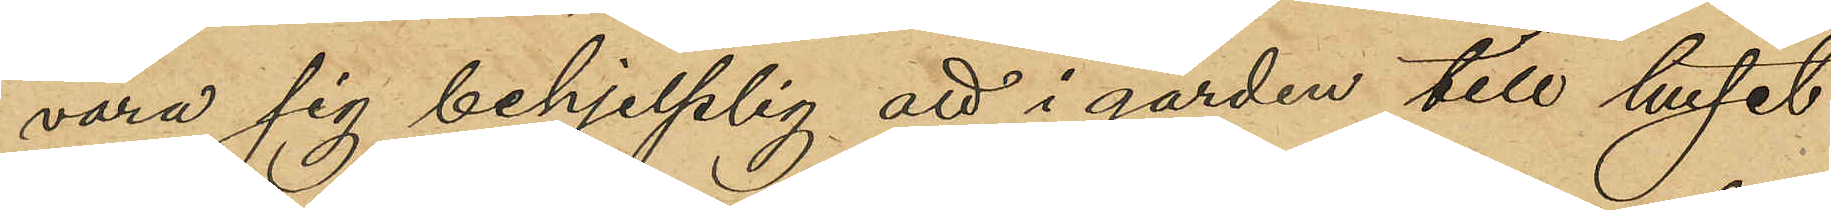vara sig behjelplig att i gården till huset
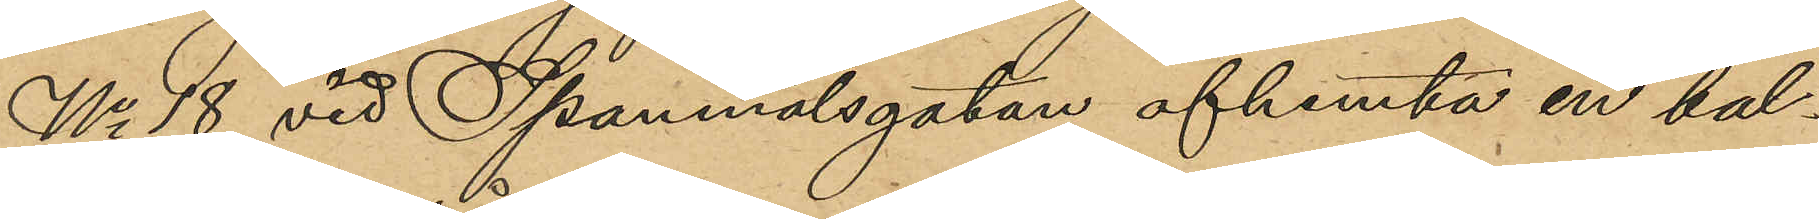No 18 vid Spannmålsgatan afhemta en bal¬
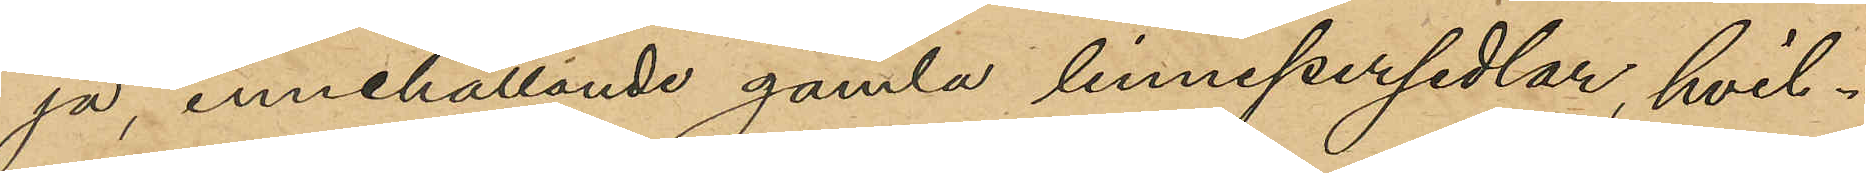ja innehållande gamla linnepersedlar, hvil¬
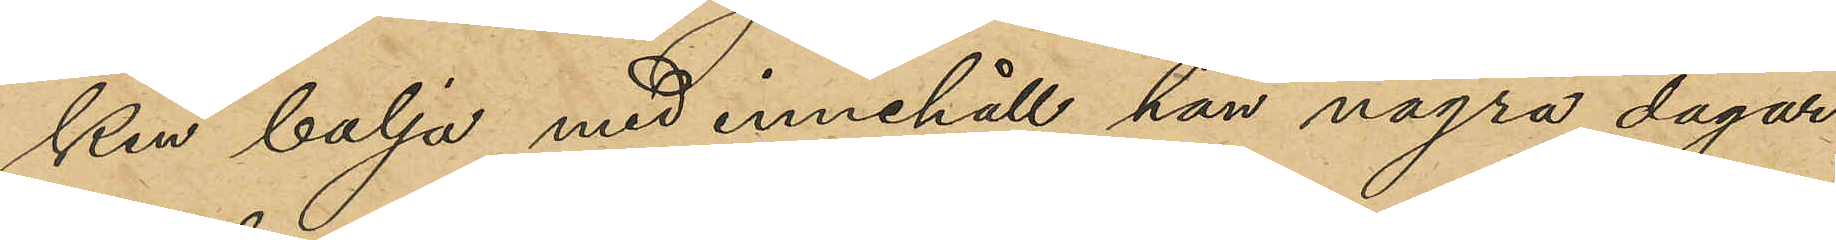ken balja med innehåll han några dagar
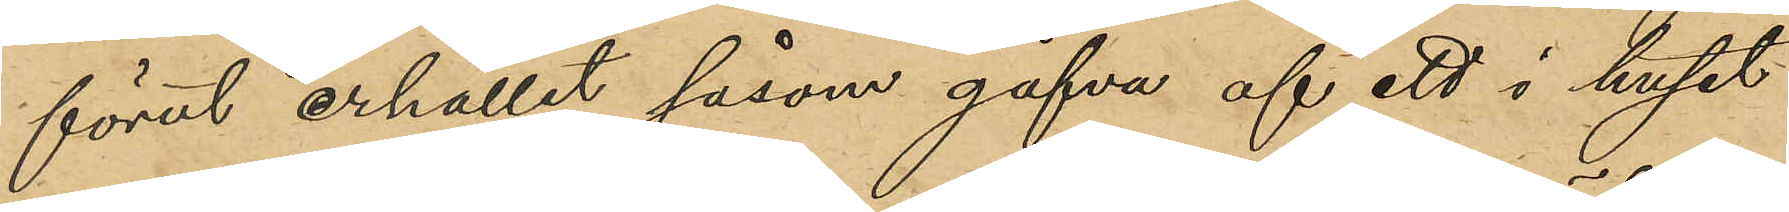förut erhållit såsom gåfva af ett i huset
